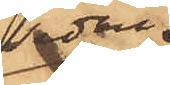sedan
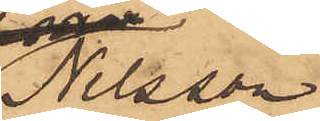Nilsson
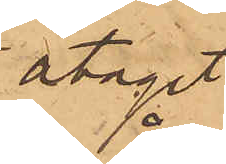åtagit
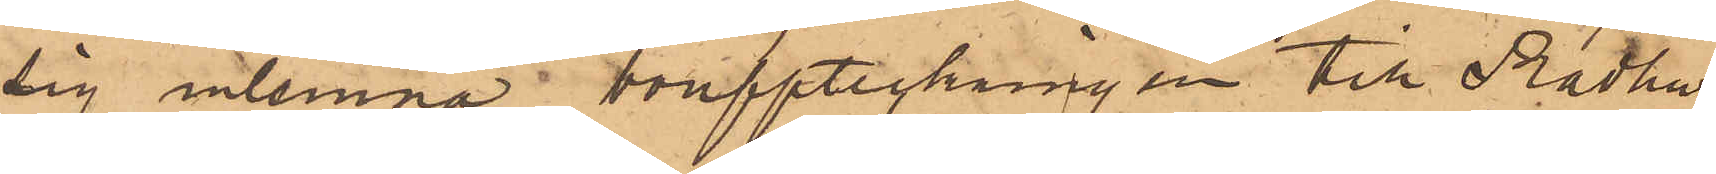sig inlemna bonfpteckningen till Rådhus¬
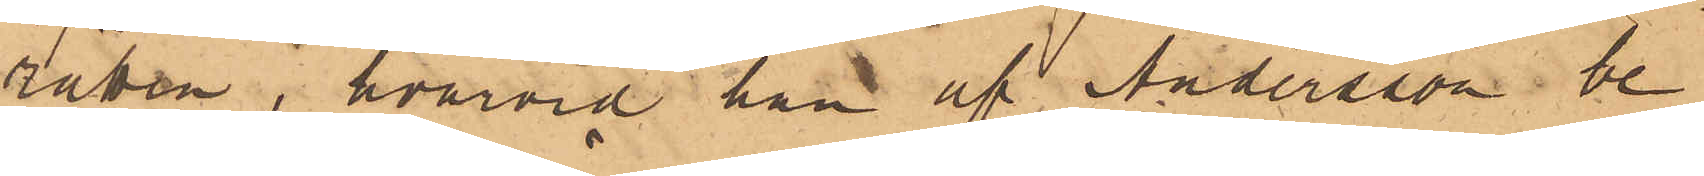rätten, hvarvid han af Andersson be¬
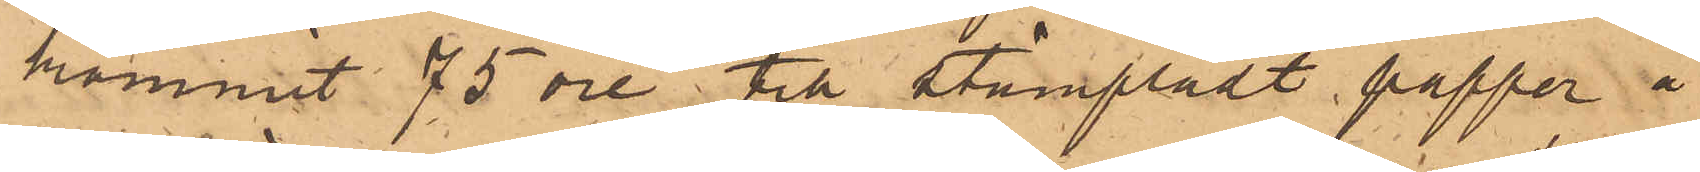kommit 75 öre, till stampladt papperer å
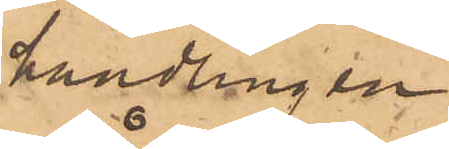handlingen
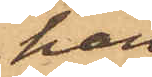han
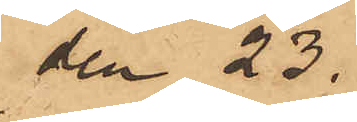den 23
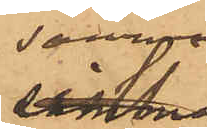samma
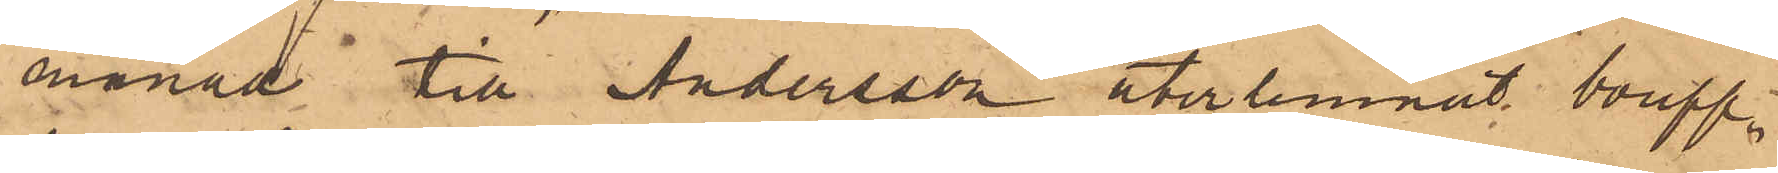månad till Andersson återlemnat boupp-
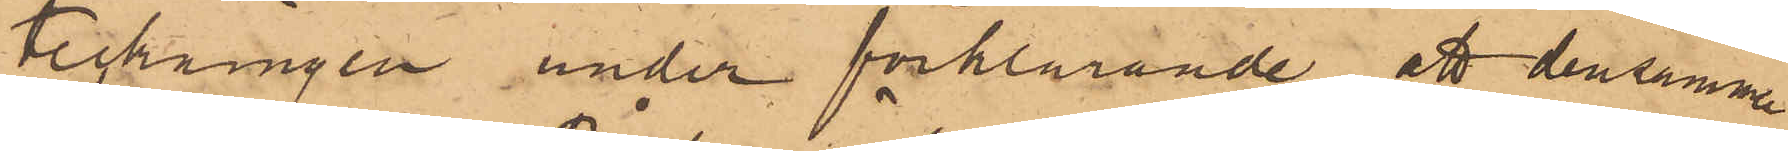teckningen under förklarande, att densamma
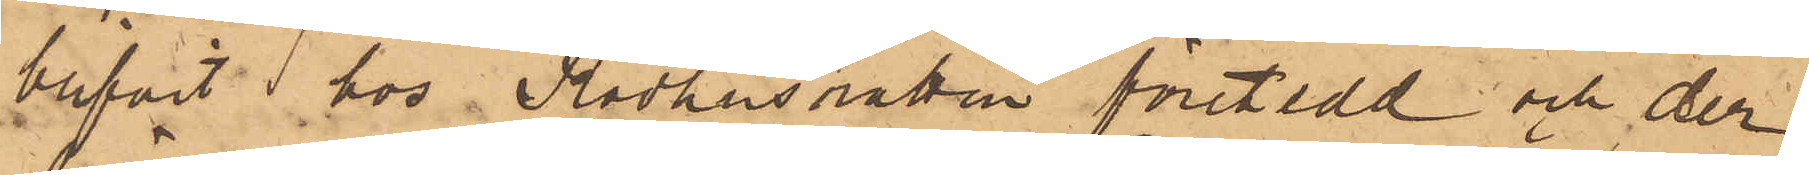blifvit i hos Rådhusrätten företedd och der
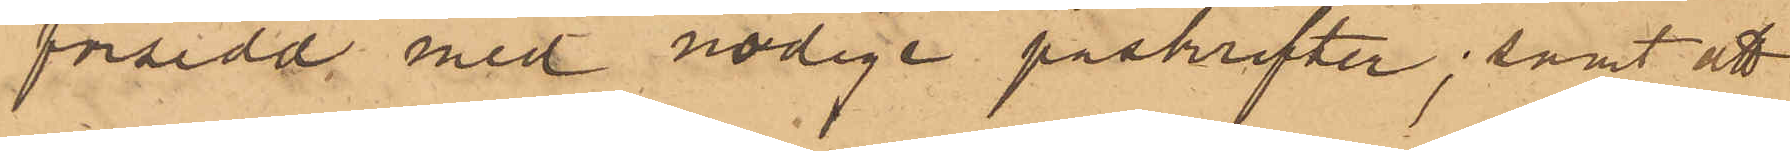försedd med nödige påskrifter; samt att
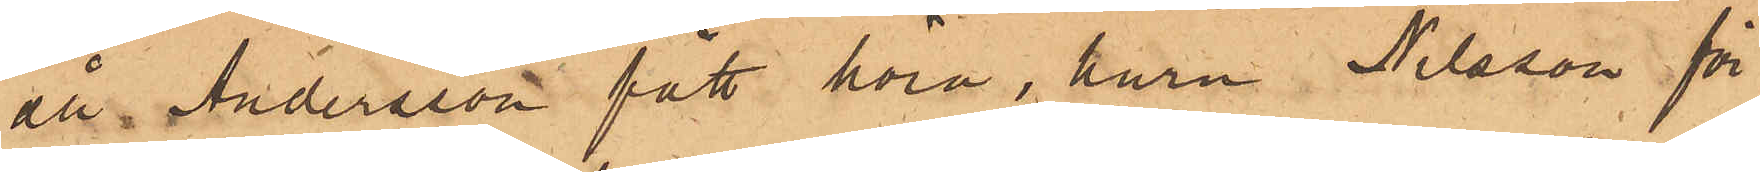att Andersson fått höra, huru Nilsson för¬
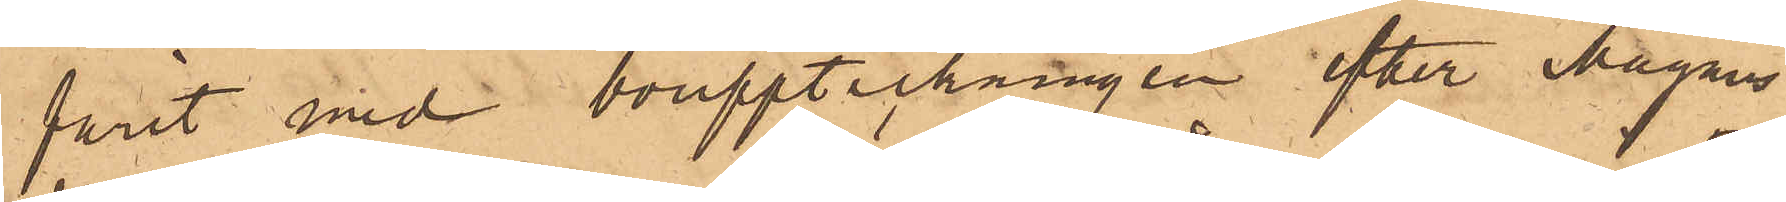farit med bouppteckningen efter Magnus
